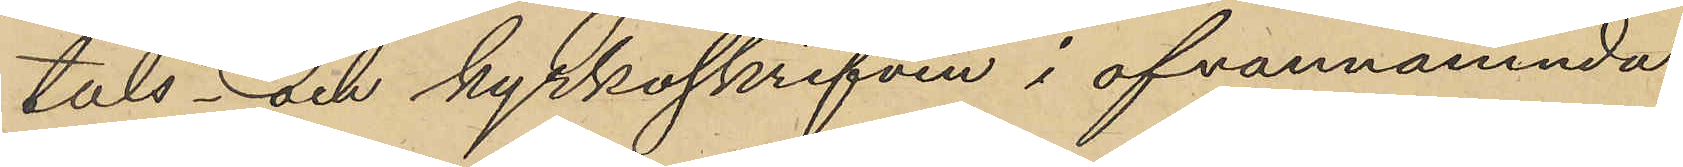tals och kyrkoskrifven i ofvannämnda
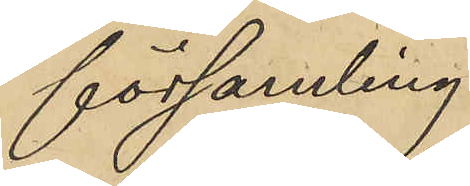församling.
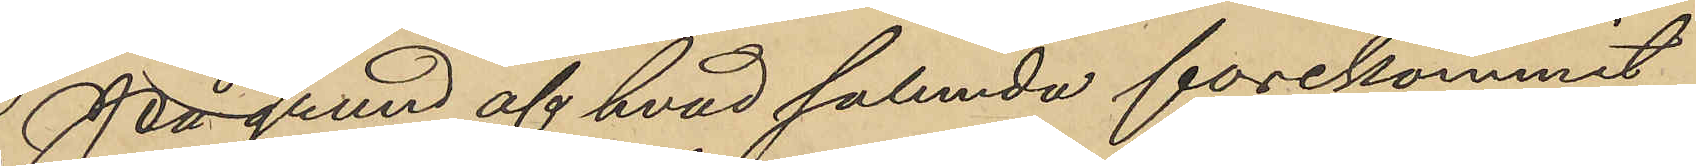På grund af hvad sålunda förekommit
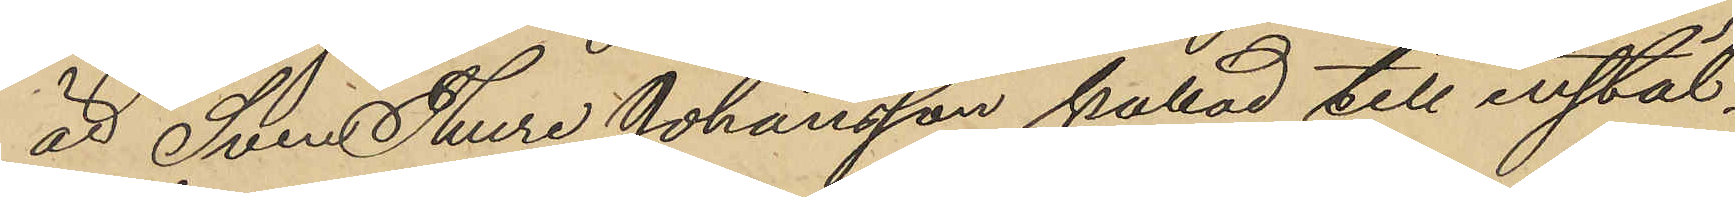är Sven Thure Johansson kallad till instäl¬
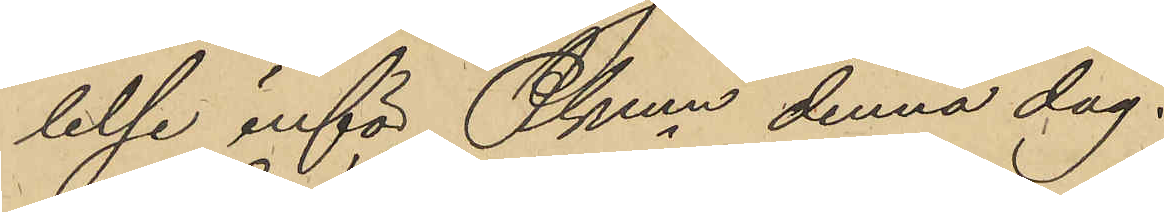lelse inför Pkmn denna dag.
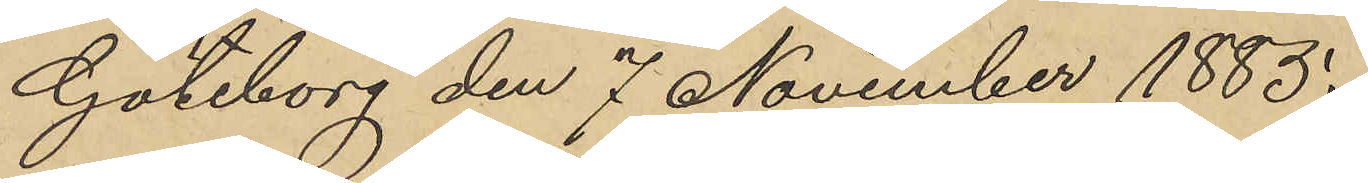Göteborg den 7 November 1885.
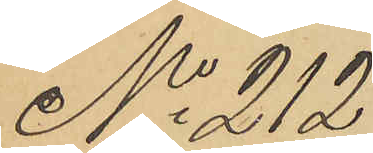No 212
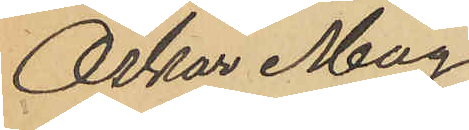Oskar Mag¬
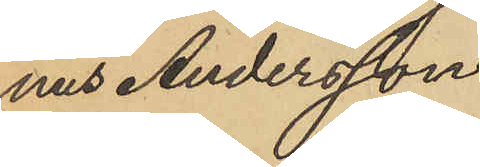nus Andersson.
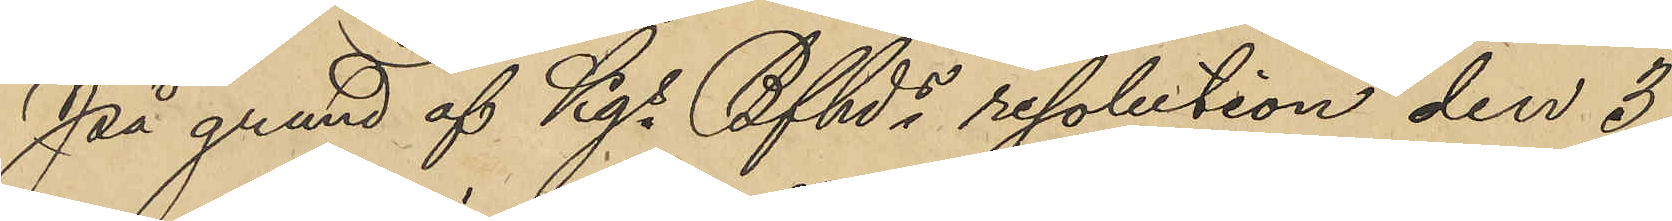På grund af Kgs Bfhds resolution den 3
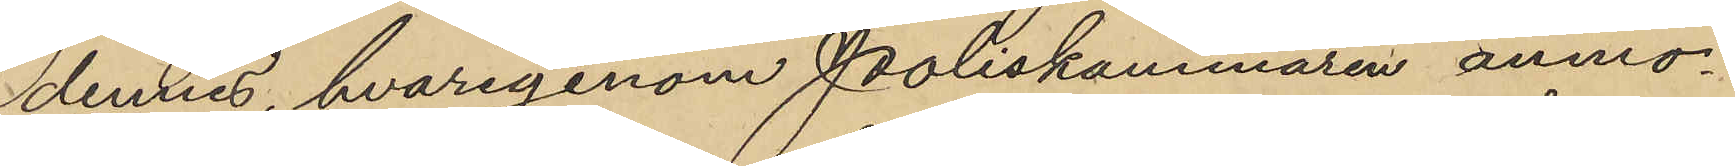dennes, hvarigenom Poliskammaren anmo¬
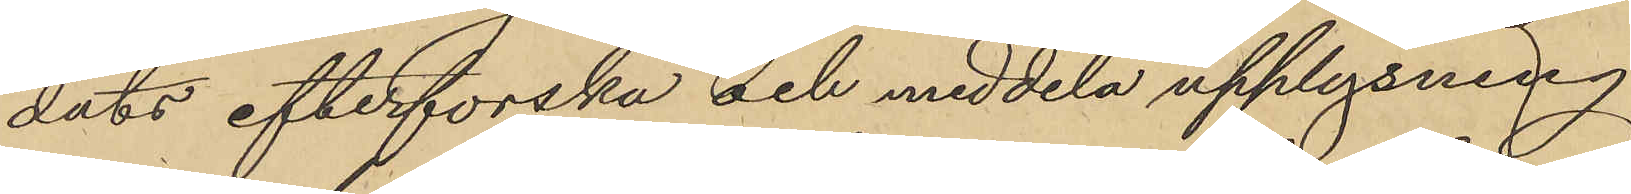dats efterforska och meddela upplysning
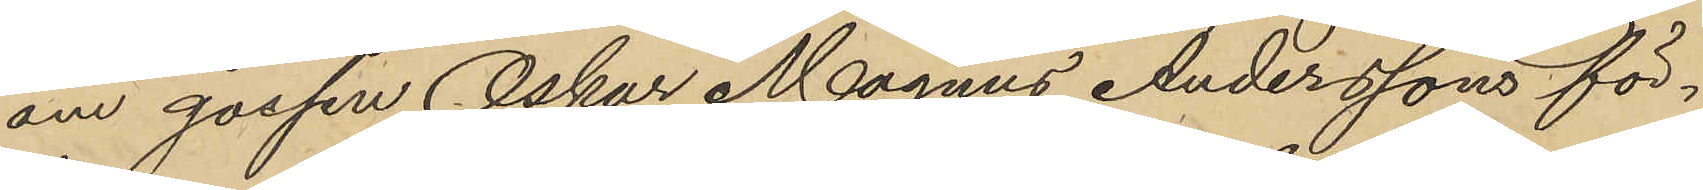om gossen Oskar Magnus Anderssons för¬
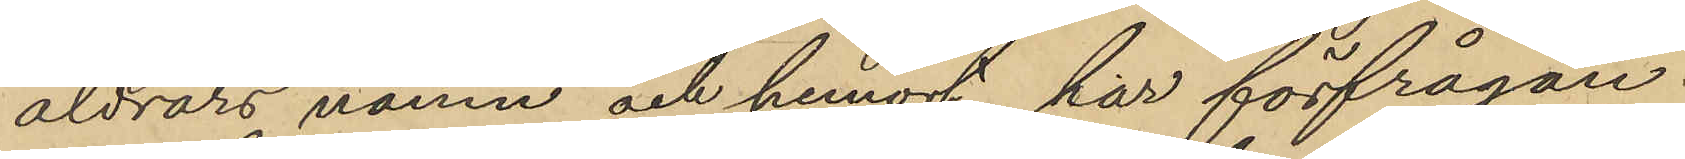äldrars namn och hemort, har förfrågan 
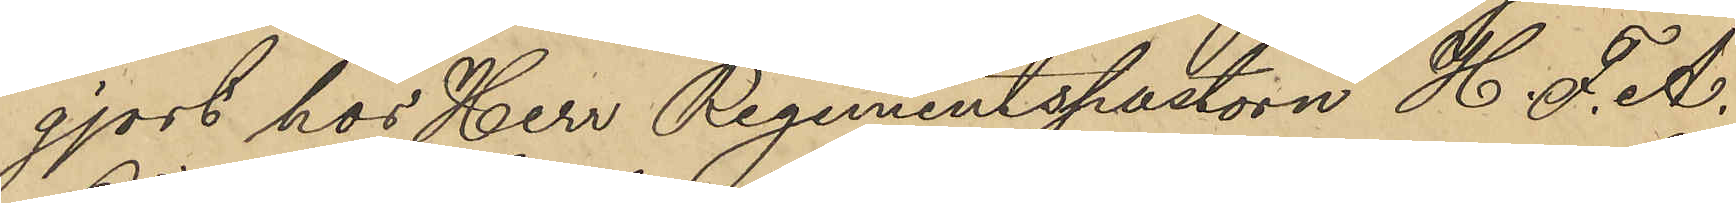gjort hos Herr Regementspastorn H. F. A.
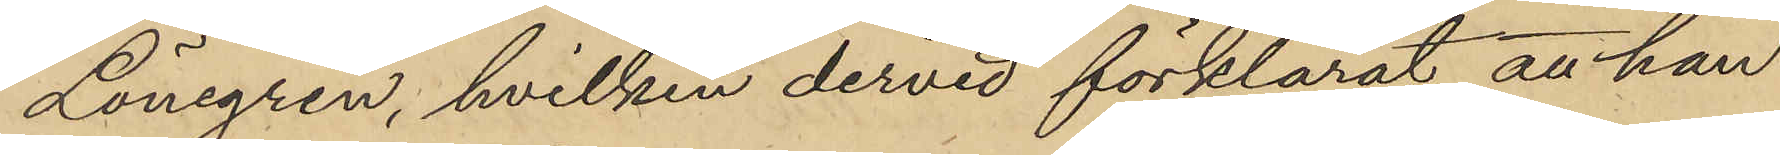Lönegren, hvilken dervid förklarat att han
